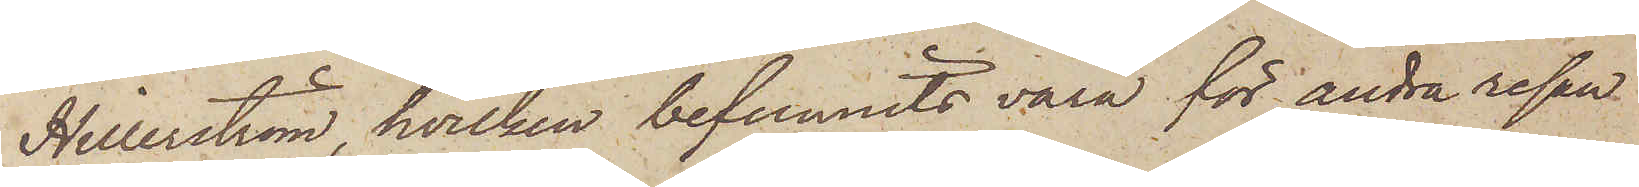Hillerström, hvilken befunnits vara för andra resan
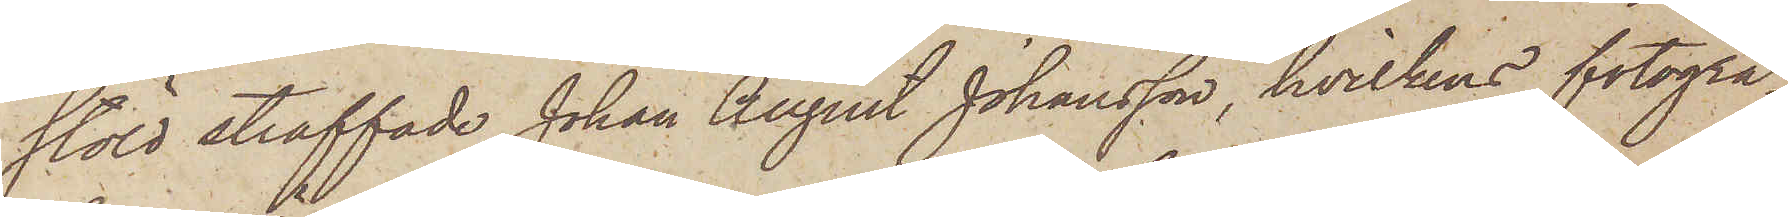stöld straffade Johan August Johansson, hvilkens fotogra¬
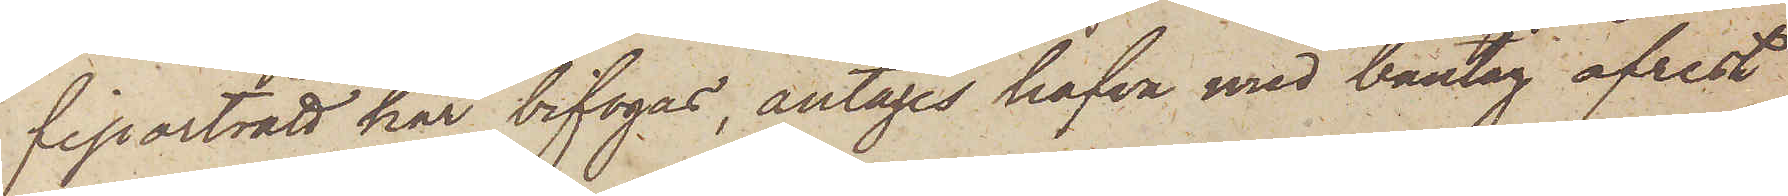fiporträtt här bifogas, antages hafva med bantåg afrest
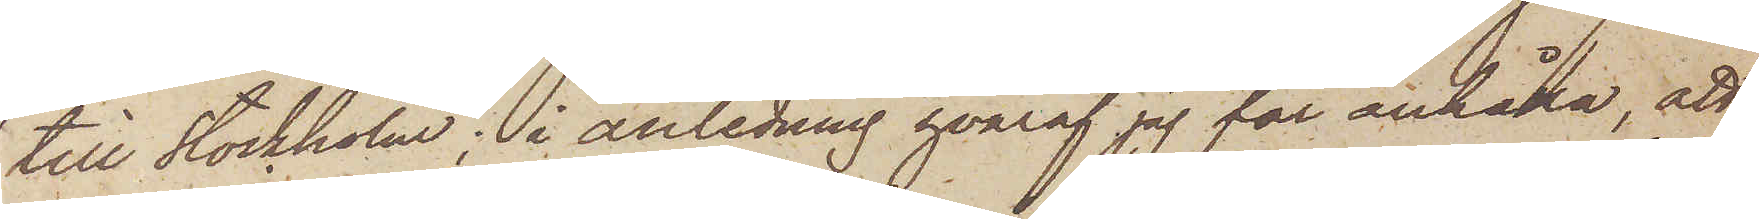till Stockholm; i anledning hvaraf jag för anhålla, att
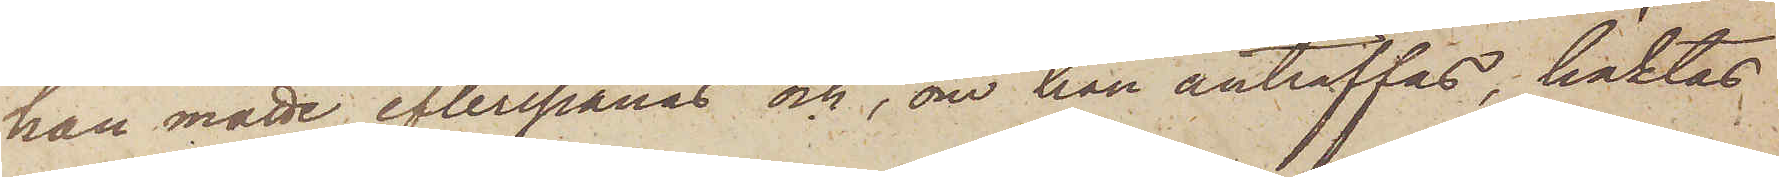han måtte efterspanas och, om han anträffas, häktas
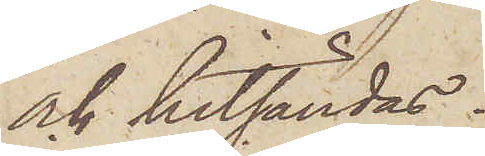och hitsändas.
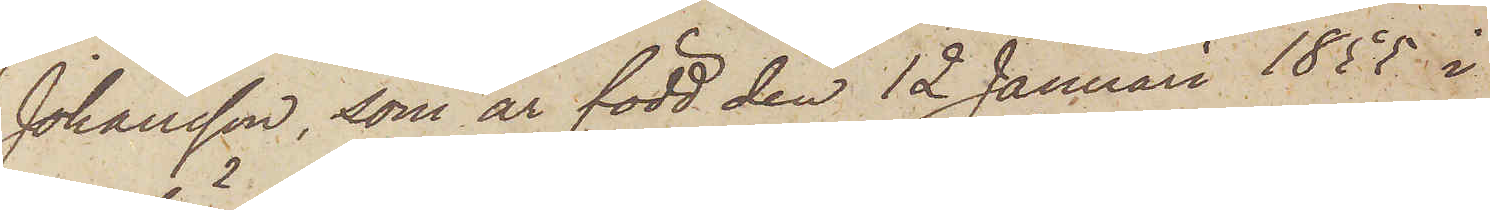Johansson, som är född den 12 Januari 1855 i
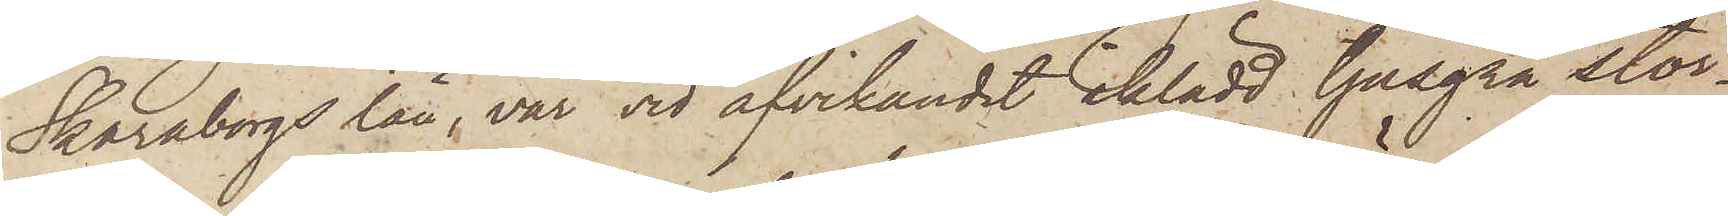Skaraborgs län, var vid afvikandet iklädd ljusgrå stor¬
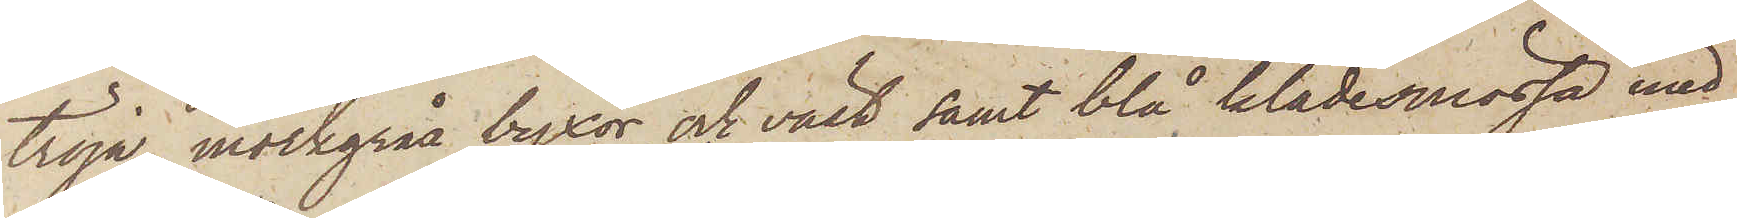tröja, mörkgråa byxor och väst, samt blå klädesmössa med
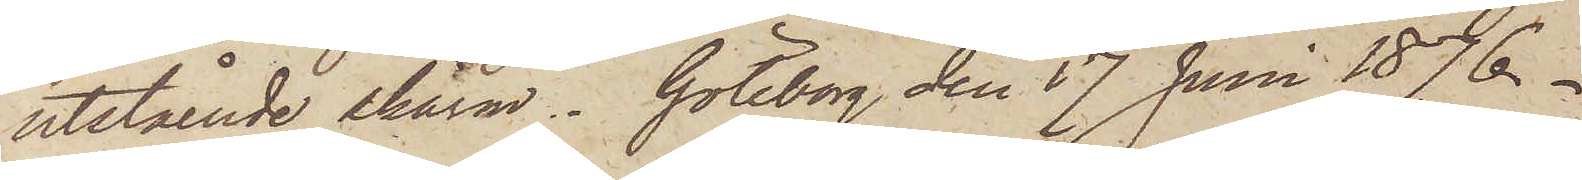utstående skärm. Göteborg den 17 Juni 1876.
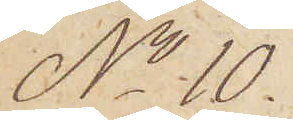No 10.
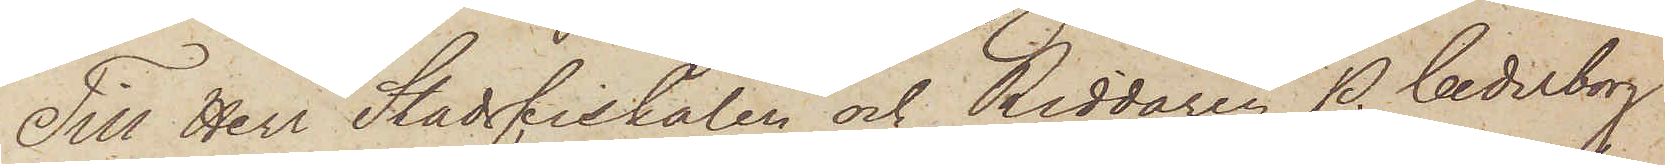Till Herr Stadsfiskalen och Riddaren P. Cederborg
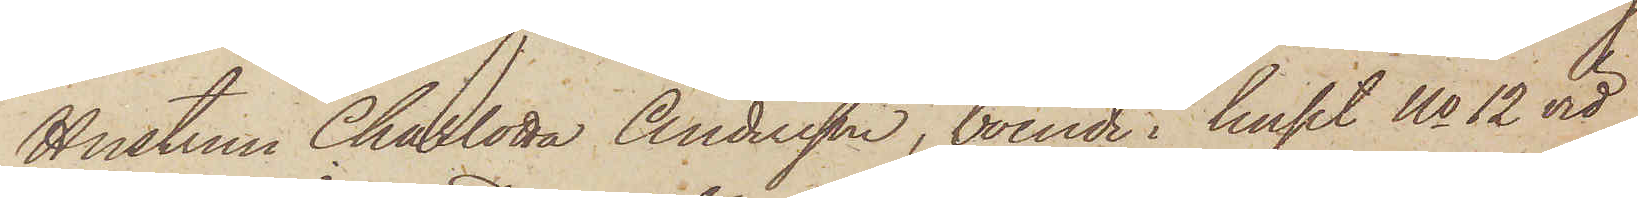Hustrun Charlotta Andersson, boende i huset No 12 vid
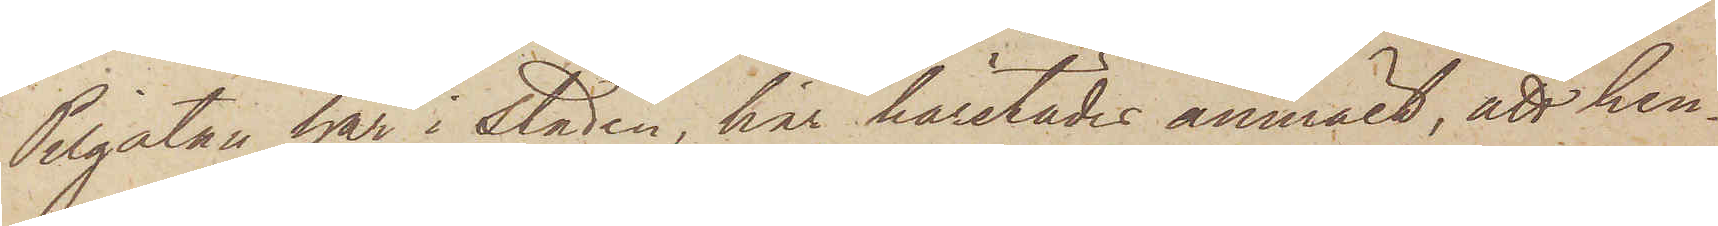Pilgatan här i staden, har härstädes anmält, att hen¬
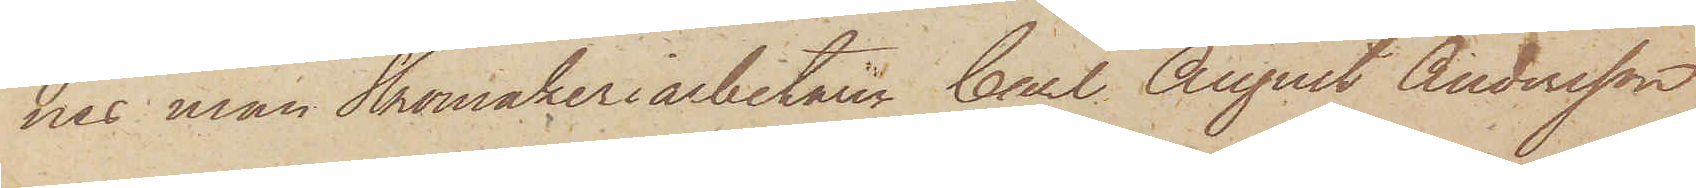nes man Skomakeriarbetaren Carl August Andersson
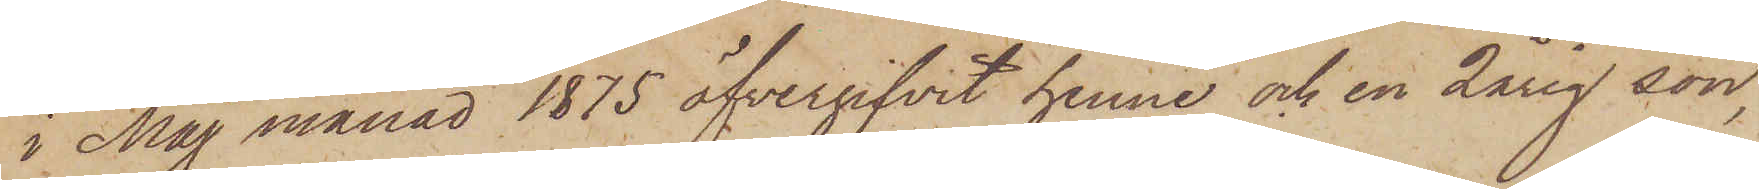i Maj månad 1875 öfvergifvit henne och en 2årig son,
